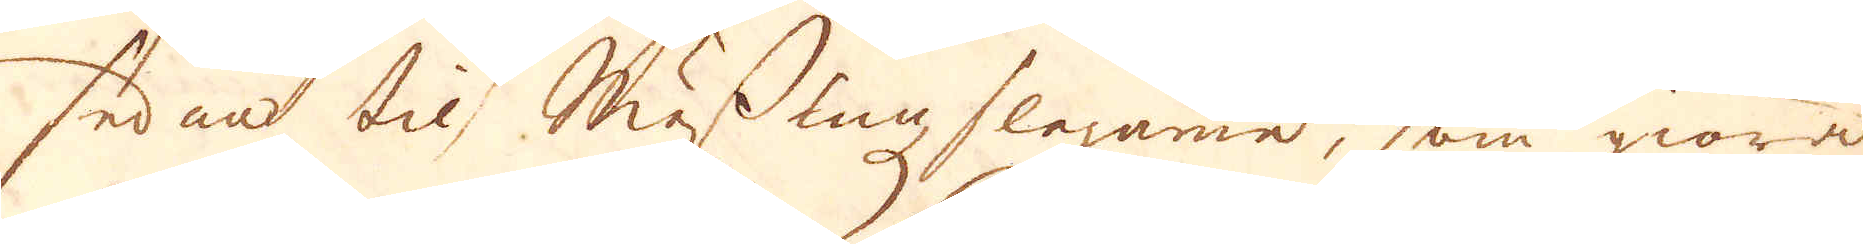sedan til Messingz slagarne, som giöra
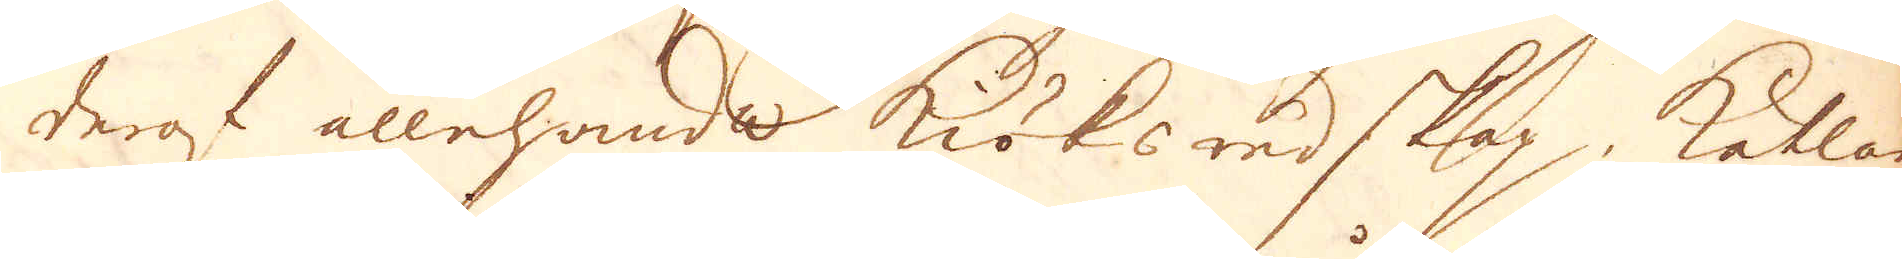deraf allehanda köksredskap, Kätlar
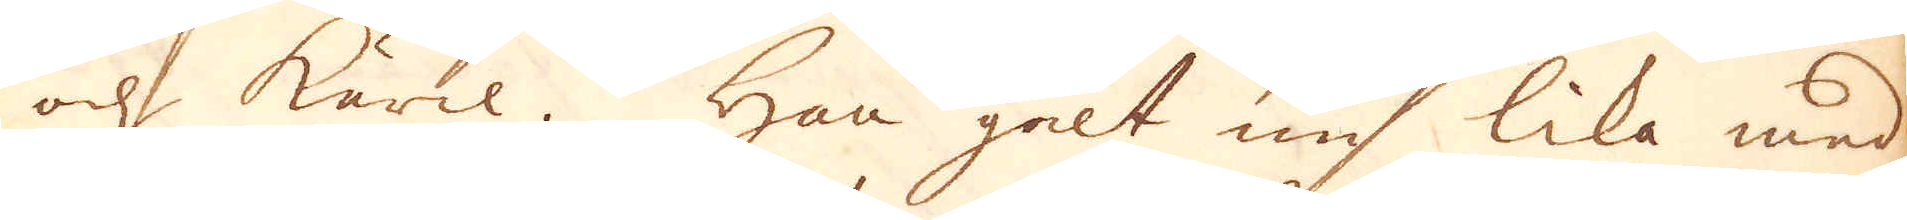och käril. Han galt nu lika med
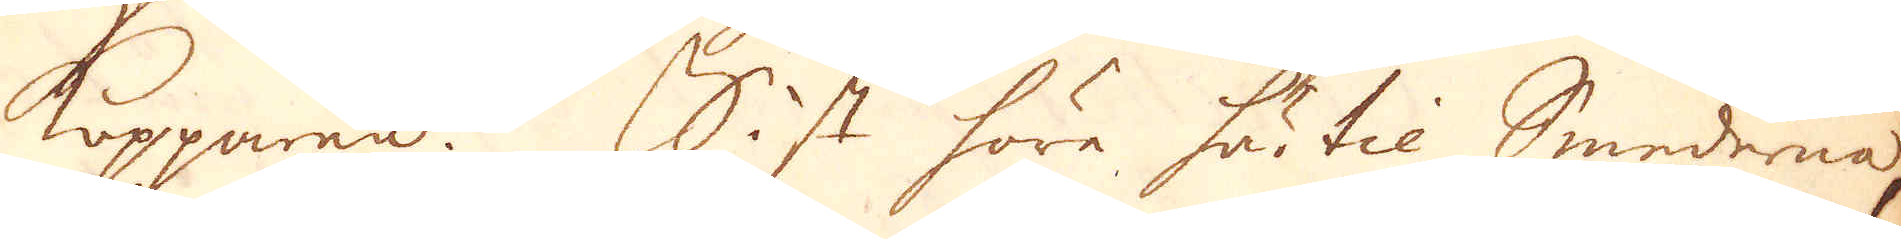Kopparen. Sist höre här til Smederna,
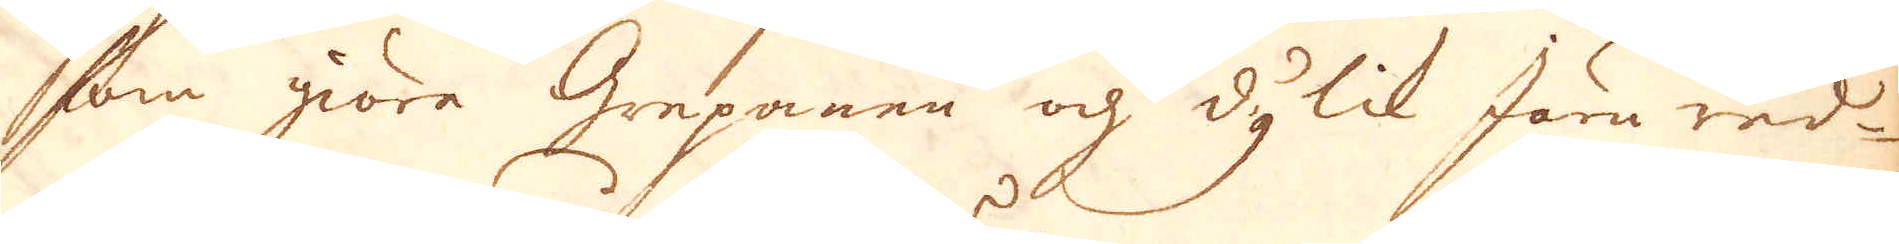som giöre Grepanen och dylik Järnred-
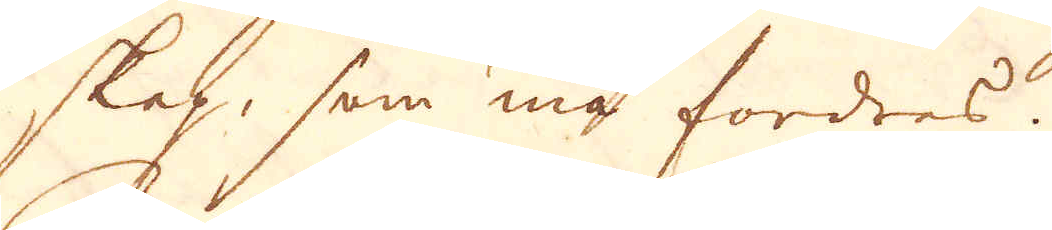skap, som må fordres.
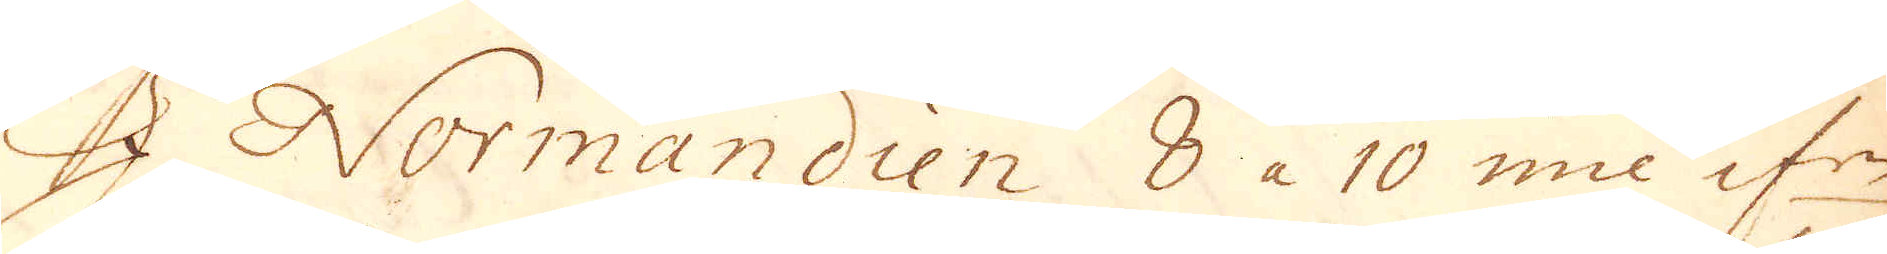I Normandien 8 à 10 mil ifrån
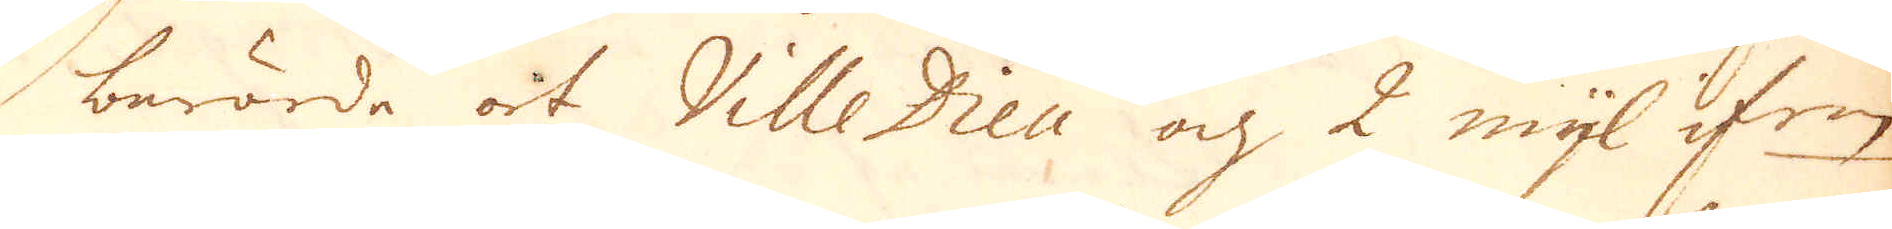berörde ort Ville Dieu och 2 mijl ifrån
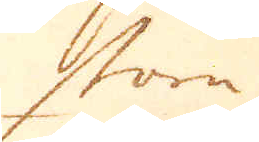stora
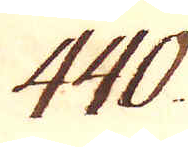440.
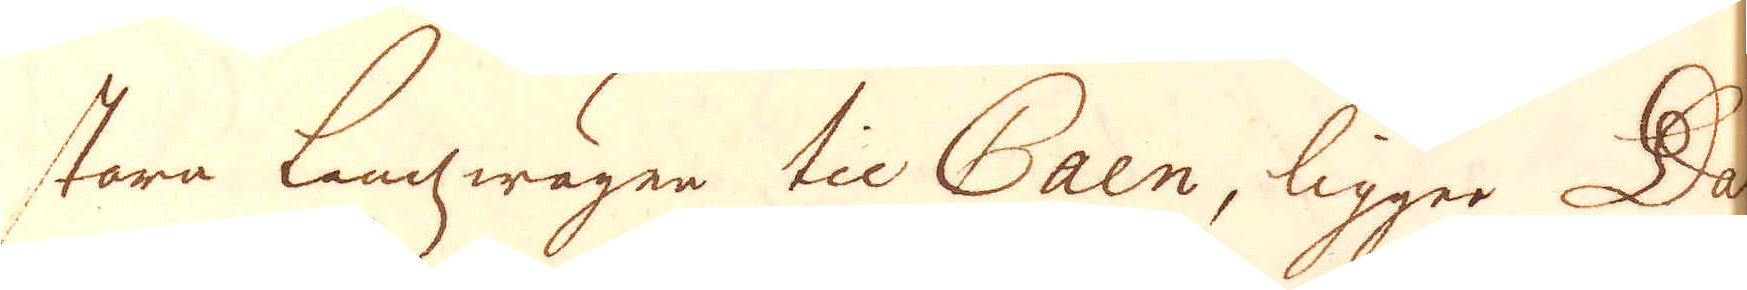stora Landwägen til Caen, ligger Da-
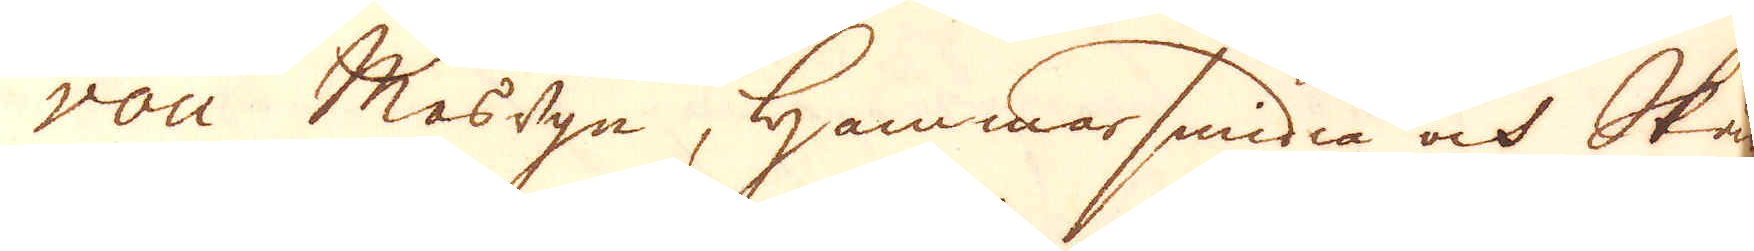vou Masugn, Hammarsmidia och Skär-
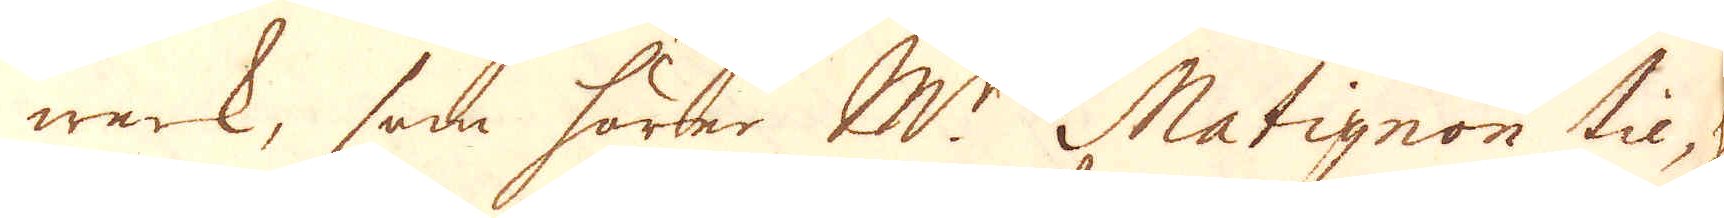werk, som hörer M:r Matignon til, hwil-
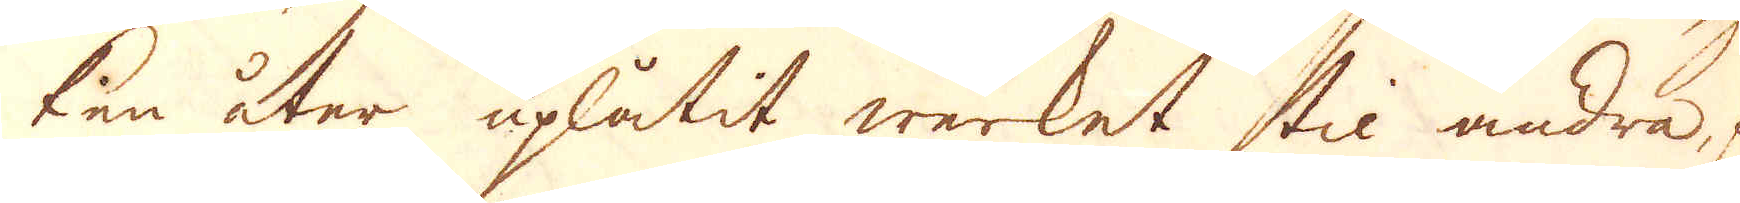ken åter uplåtit werket til andra, för
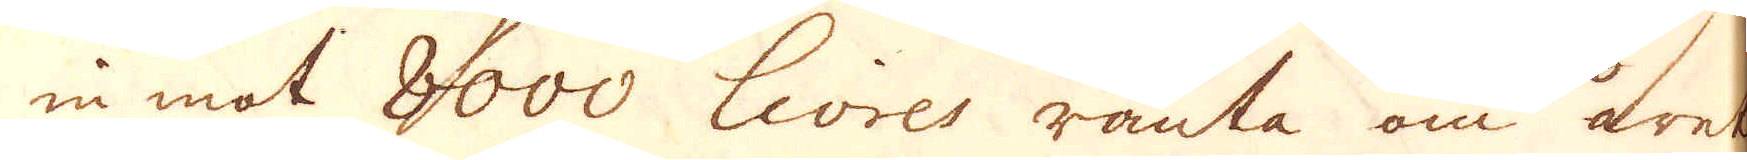in mot 8000 livres ränta om året.
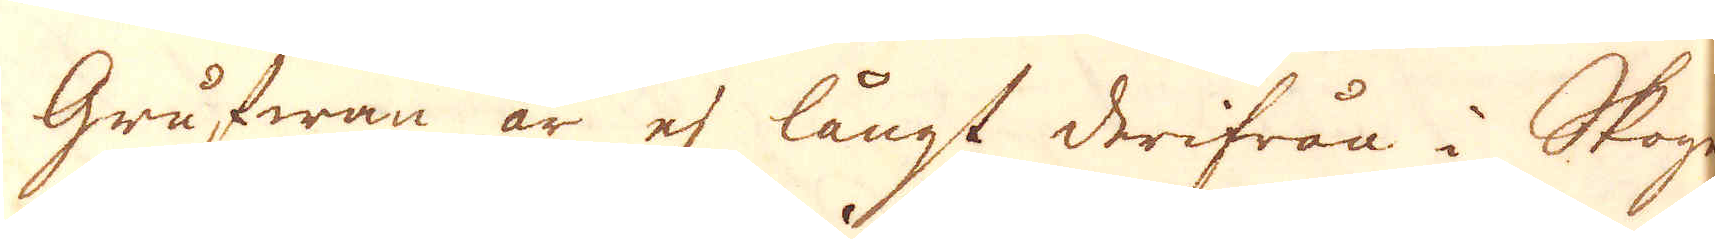Grufwan är ej långt derifrån i Skogen,
